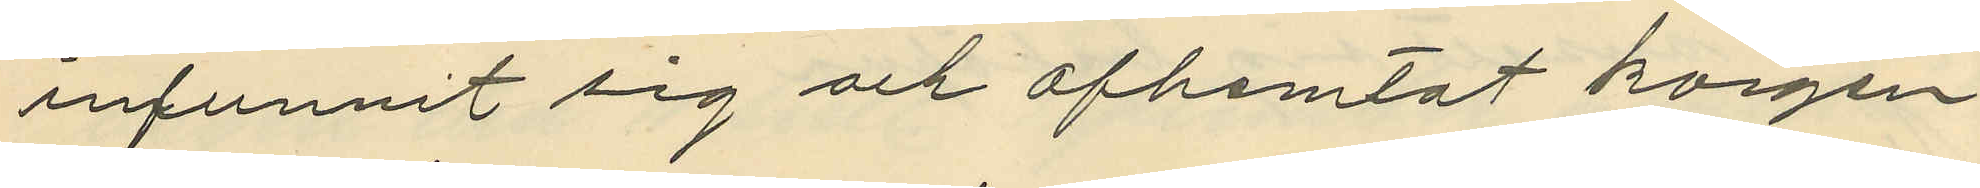infunnit sig och afhemtat korgen
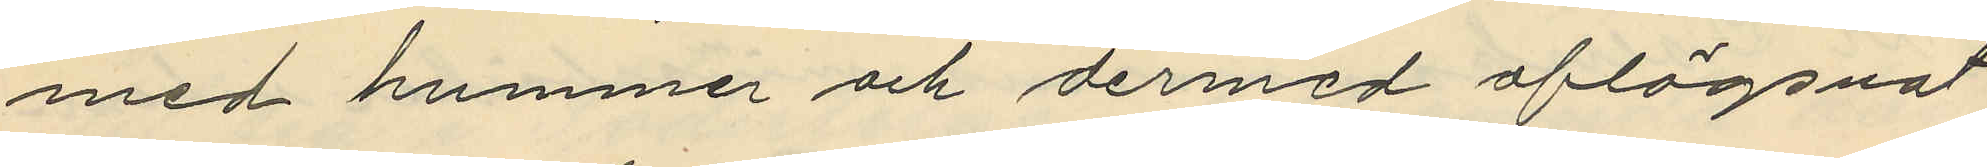med hummer och dermed aflägsnat
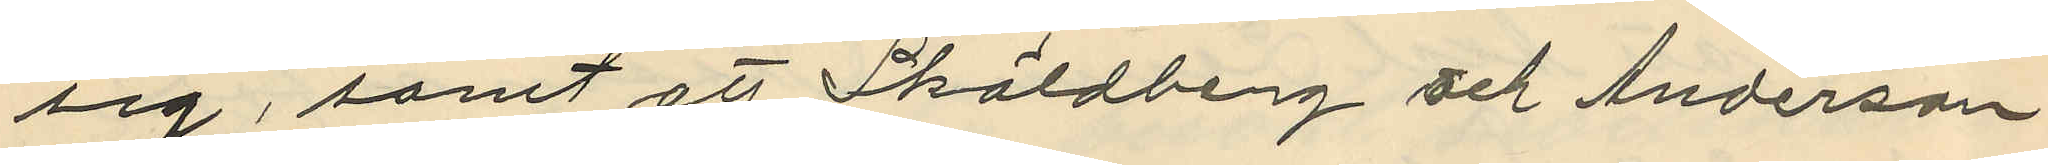sig, samt att Sköldberg och Anderson
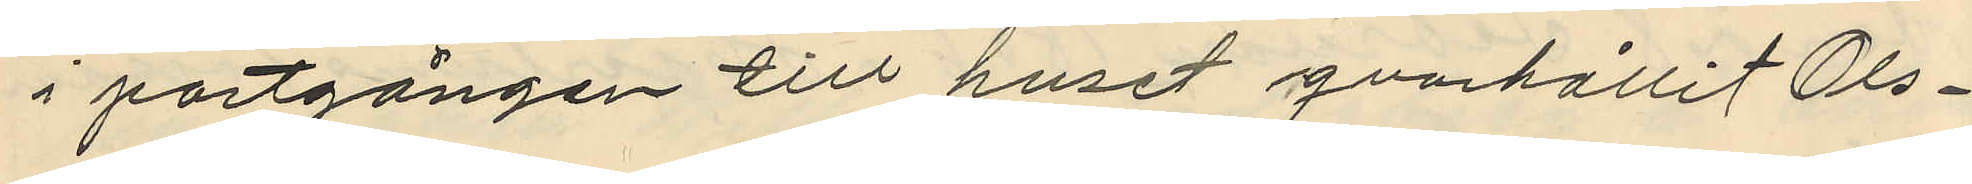i portgången till huset gvarhållit Ols¬
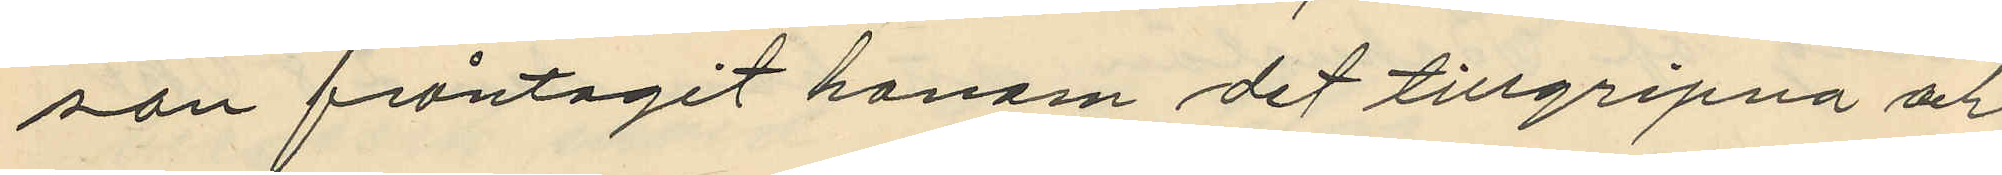son fråntagit honom det tillgripna och
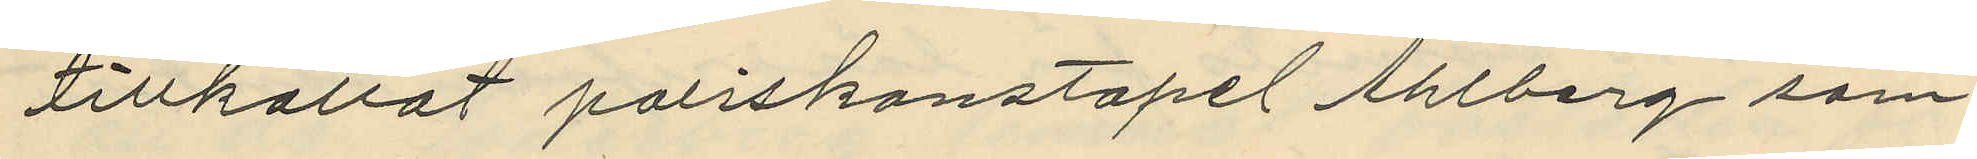tillkallat poliskonstapel Ahlberg som
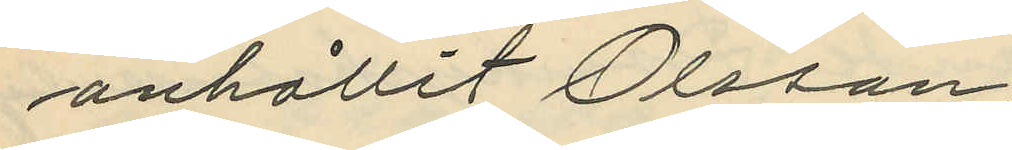anhållit Olsson.
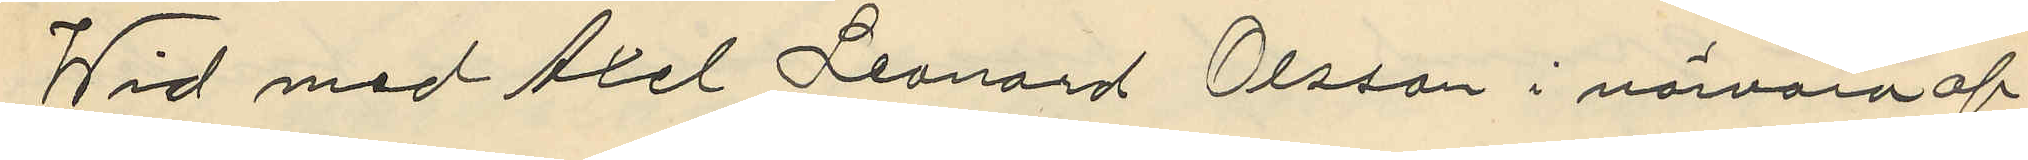Wid med Axel Leonard Olsson i närvaro af
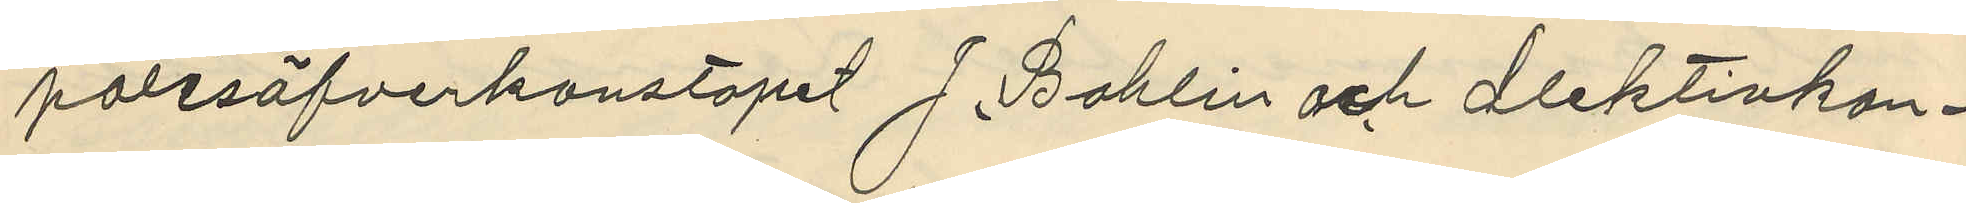polisöfverkonstapel J. Bohlin och detektivkon¬
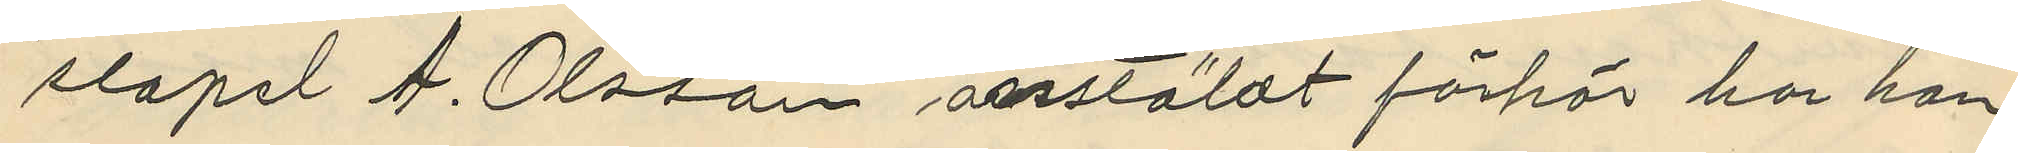stapel A. Olsson ansstäldt förhör har han
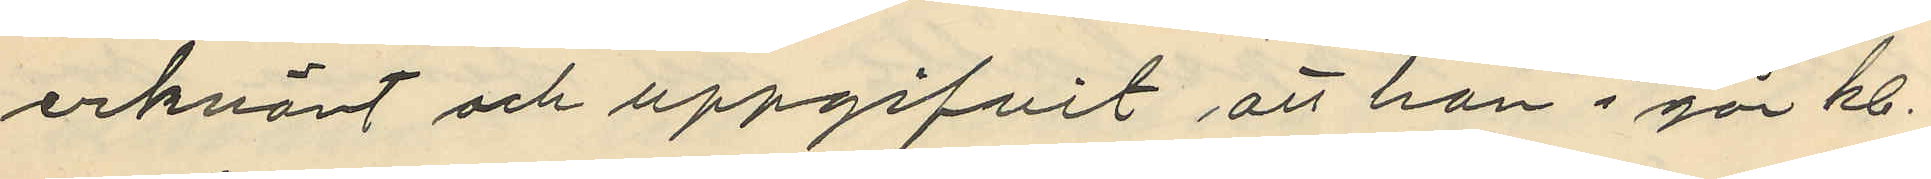erkänt och uppgifvit att han i går kl.
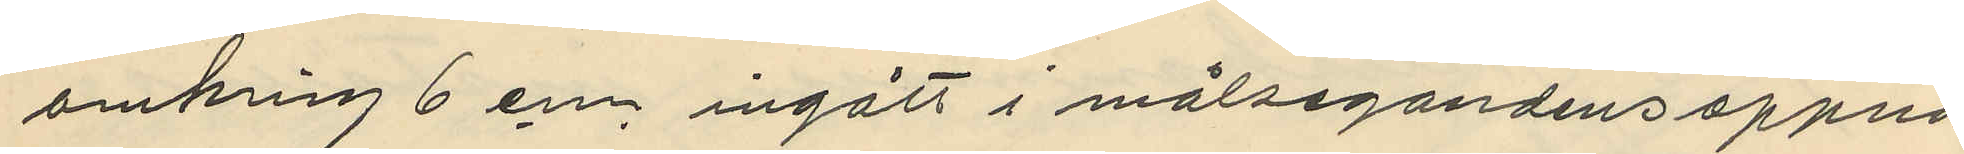omkrin 6 en ingått i målsegandens öppna
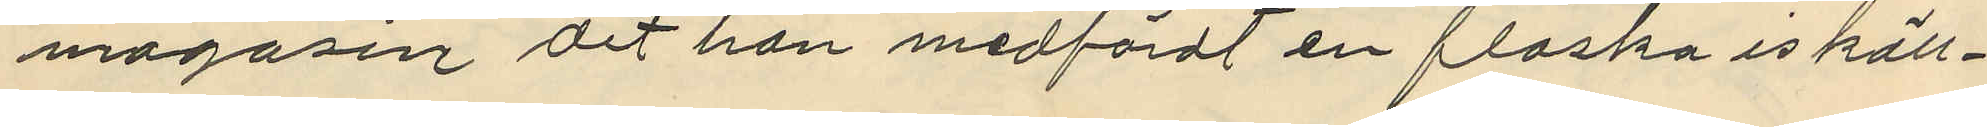magasin dit han medfördt en flaska iskäll¬
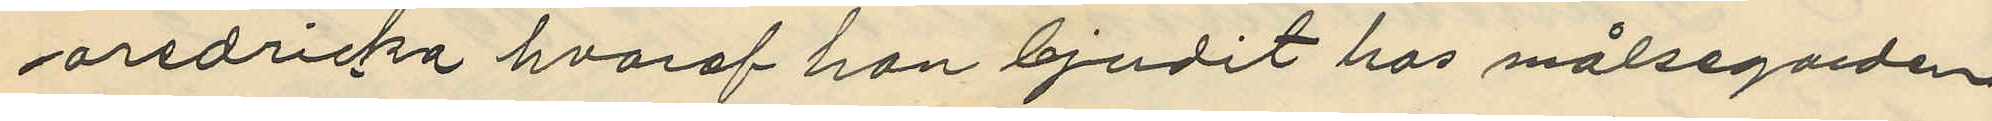aredricka hvaraf han bjudit hos målsegaren
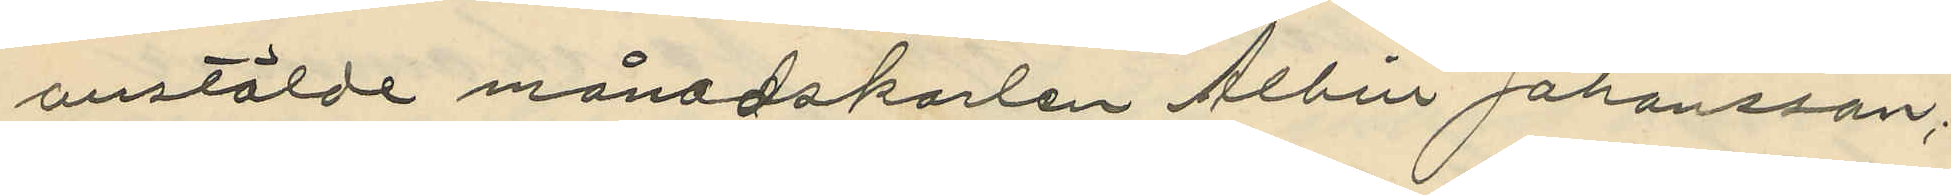anstälde månadskarlen Albin Johansson;
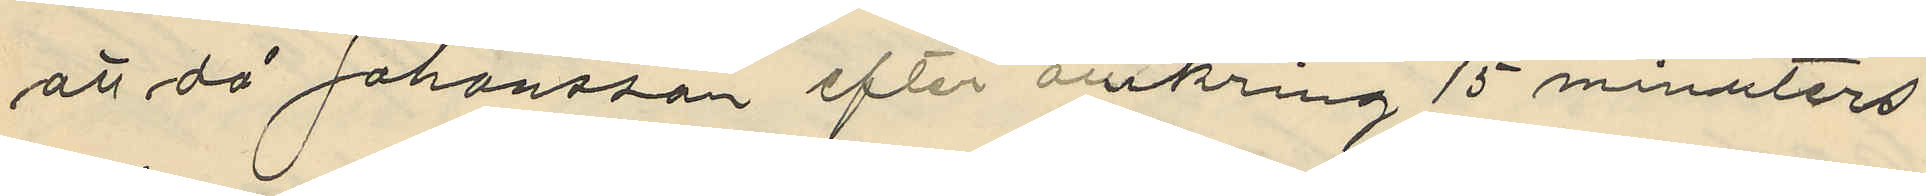att då Johansson efter omkring 15 minuters
